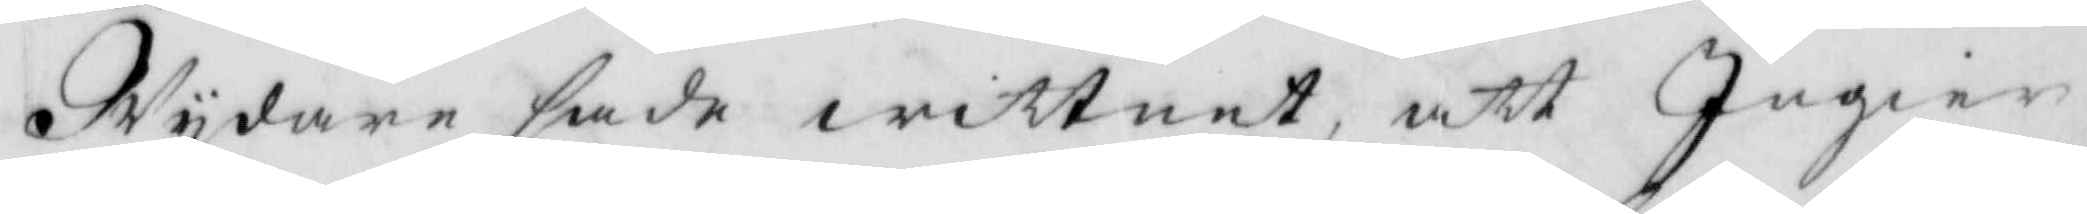Wydare sade wittnet, att Ingier
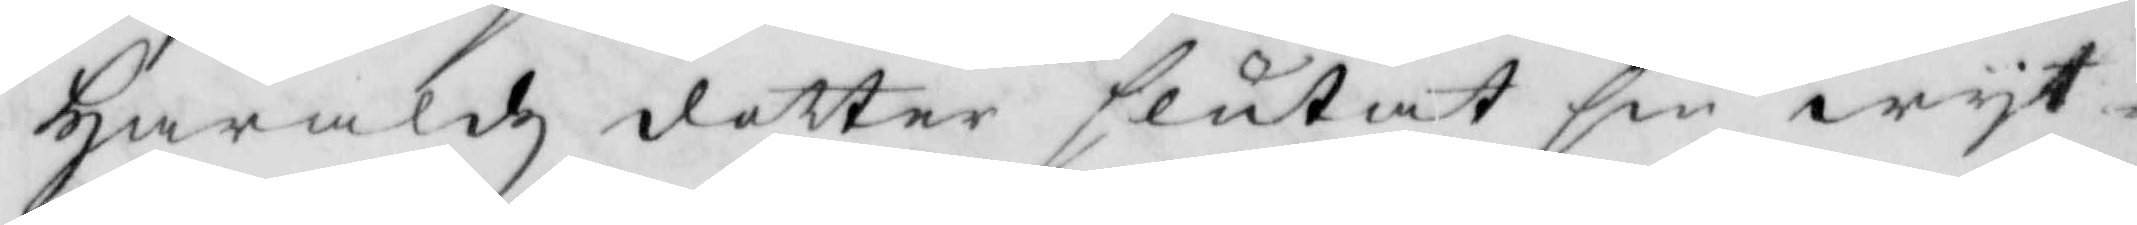Haraldz dotter slutat sin wyt¬
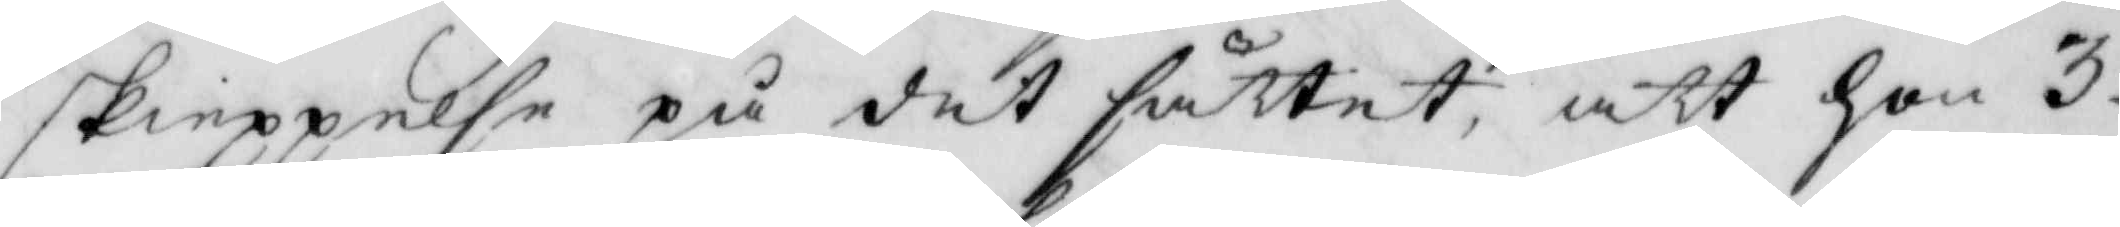skieppelse på det sättet, att hon 3
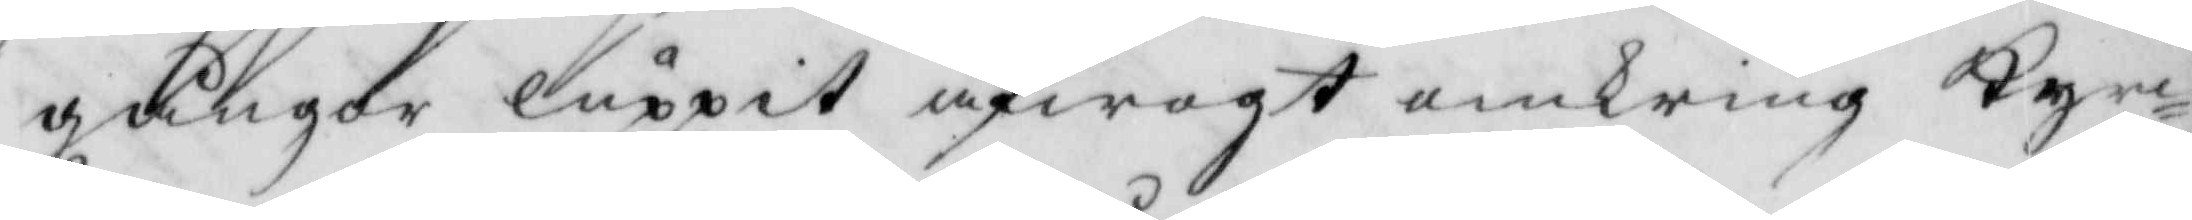gånger luppit afwogt omkring Kyr¬
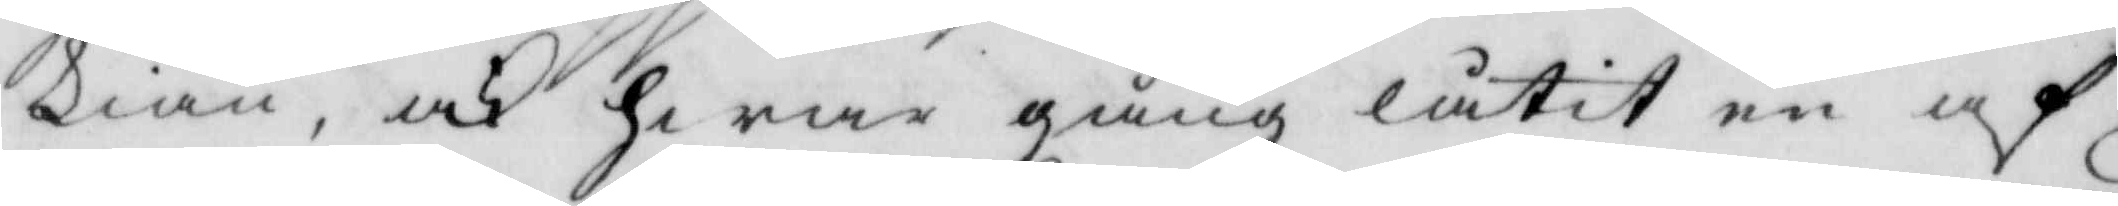kian, och hwar gång låtit en af
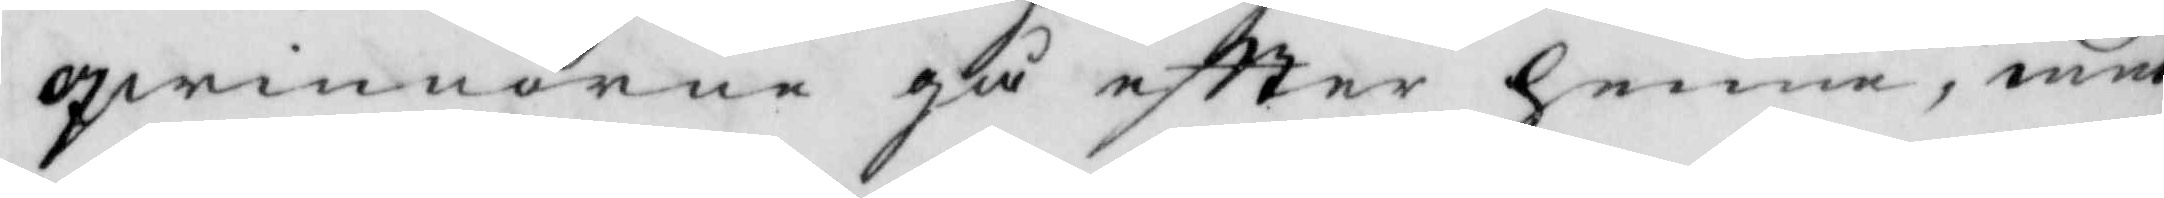qwinnorne gå eftter henne, med
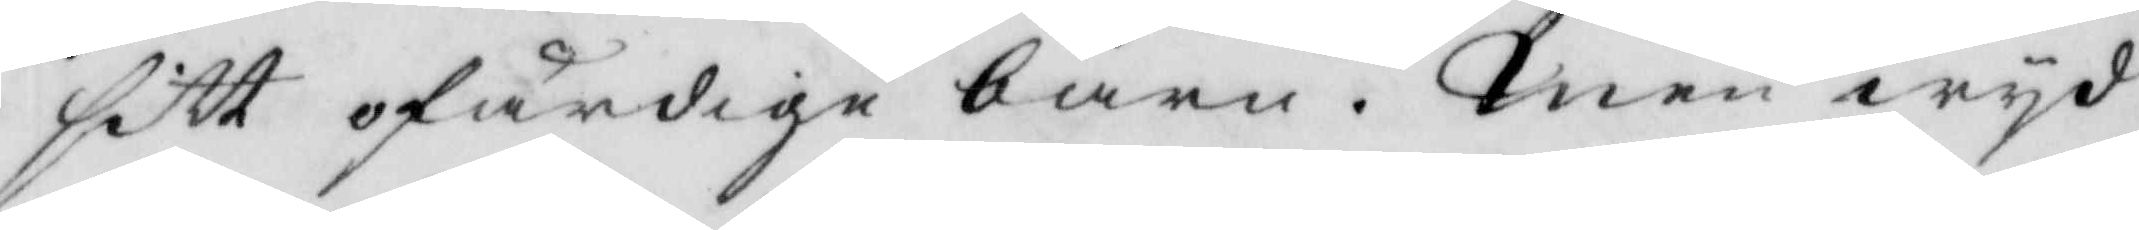sitt ofärdige barn. Men wyd
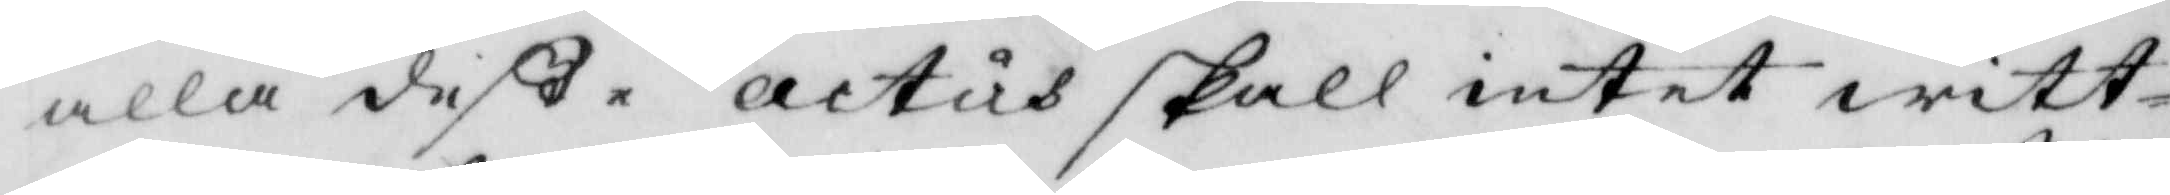alla deße actus skall intet witt¬
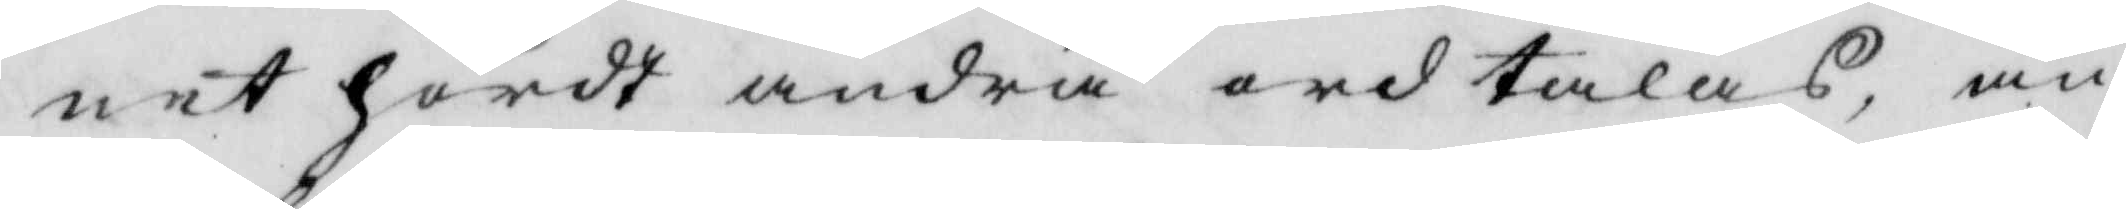net hördt andra ord talas, än
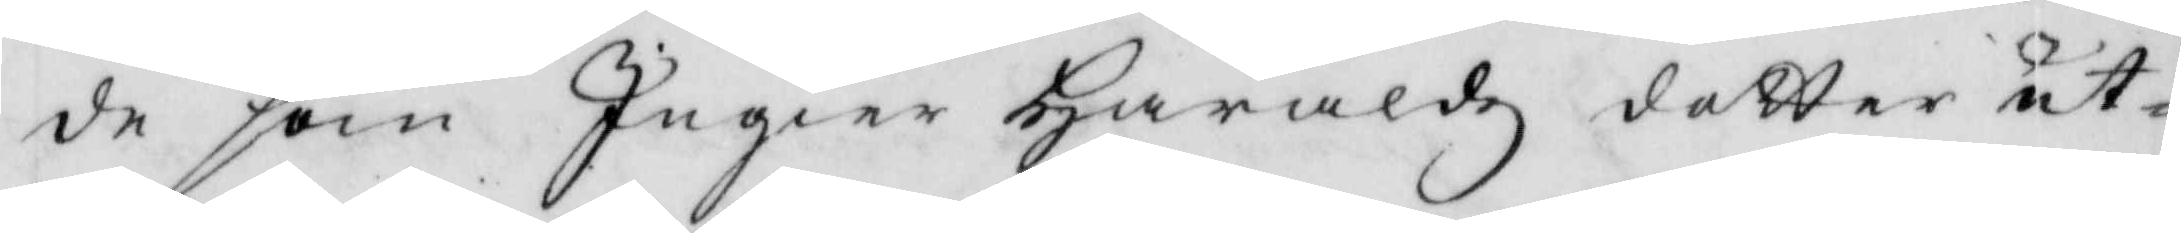d som Ingier Haraldz dotter ut¬
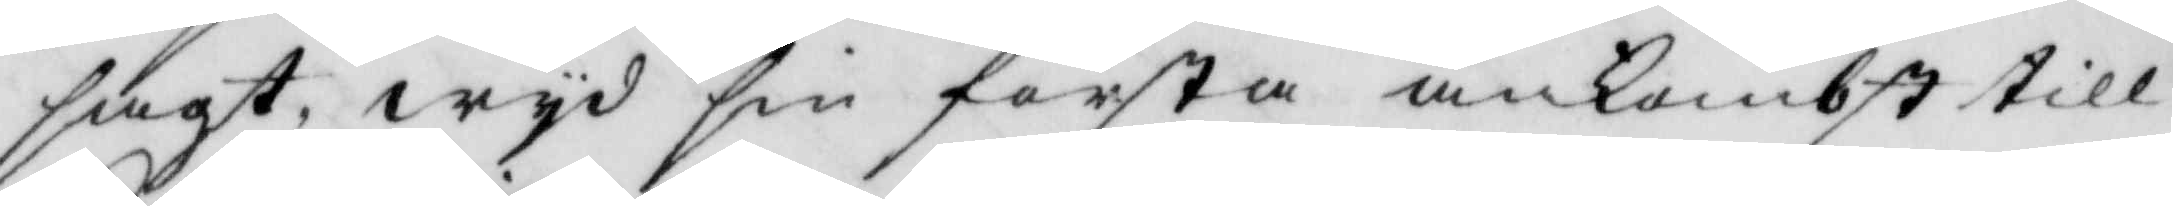sagt, wyd sin första ankombst till
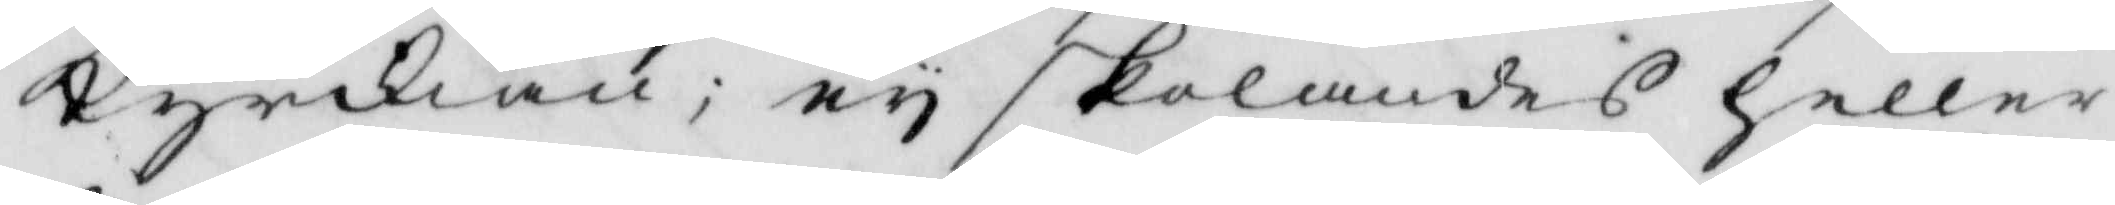kyrkian; ey skolandes heller
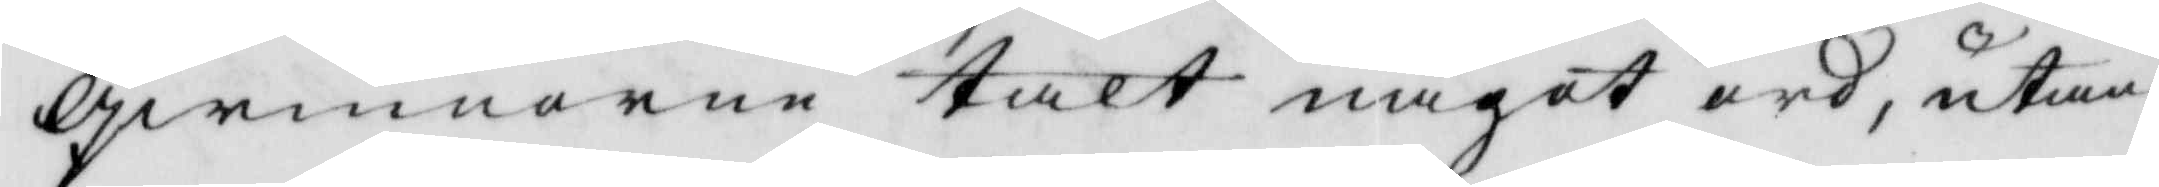qwinnorne talt något ord, utan
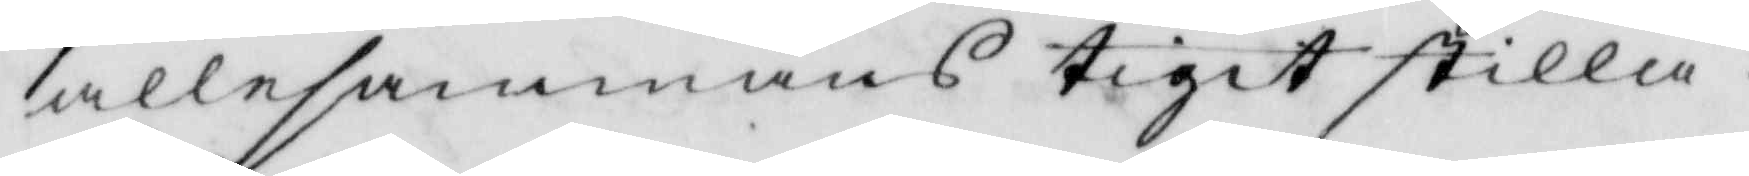alleammans tigit stilla.
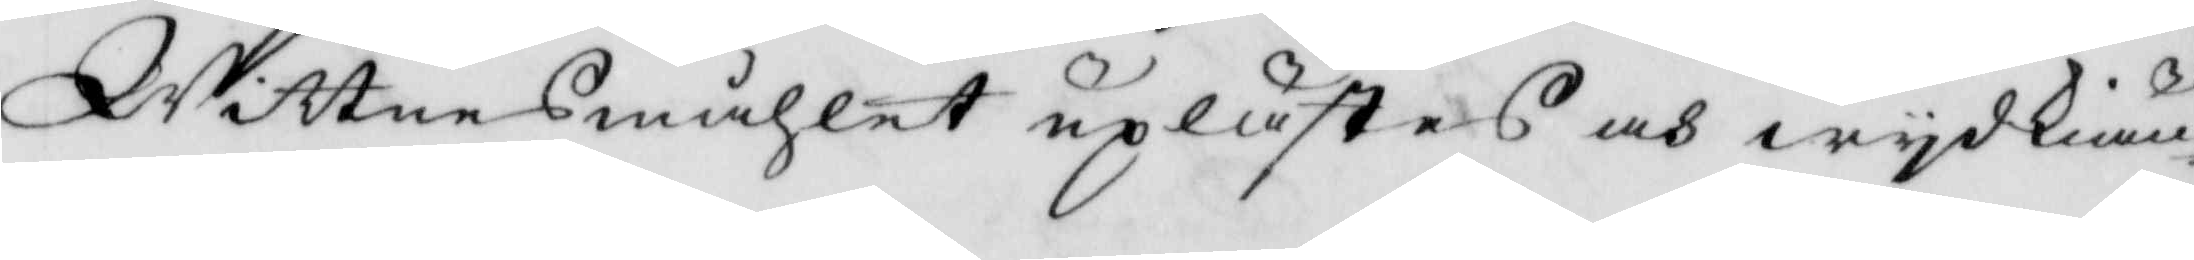Wittnesmåhlet upkästes och wydkiän¬
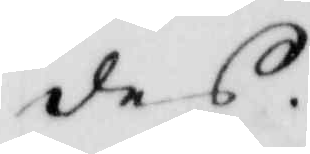des.
